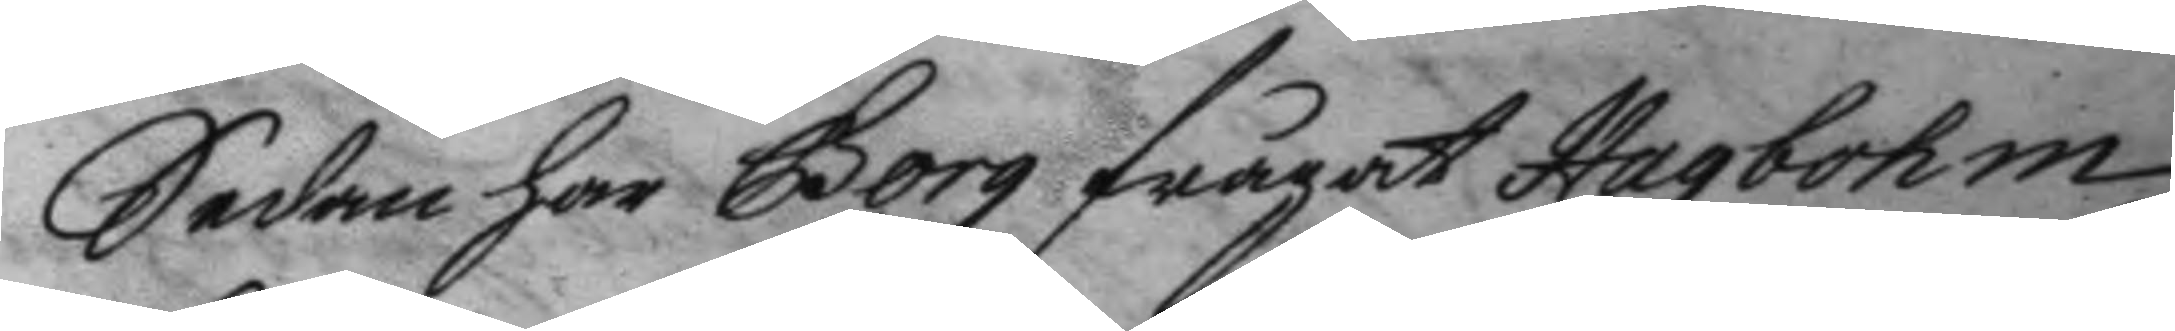Sedan har Borg frågat Hagbohm
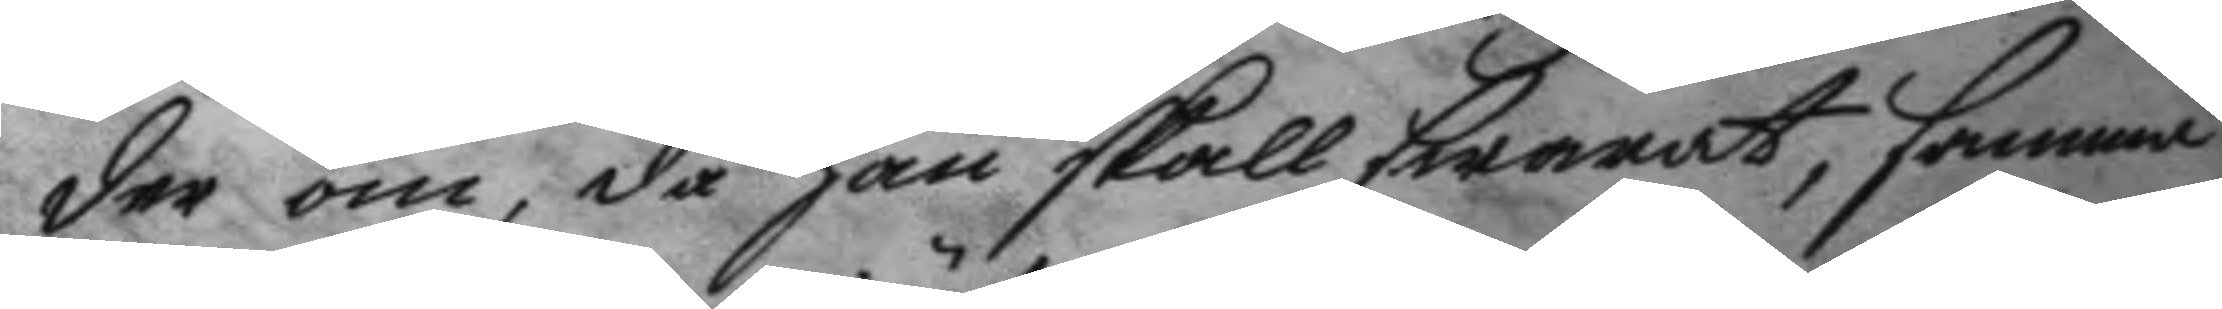der om, då han skall swarat, samma
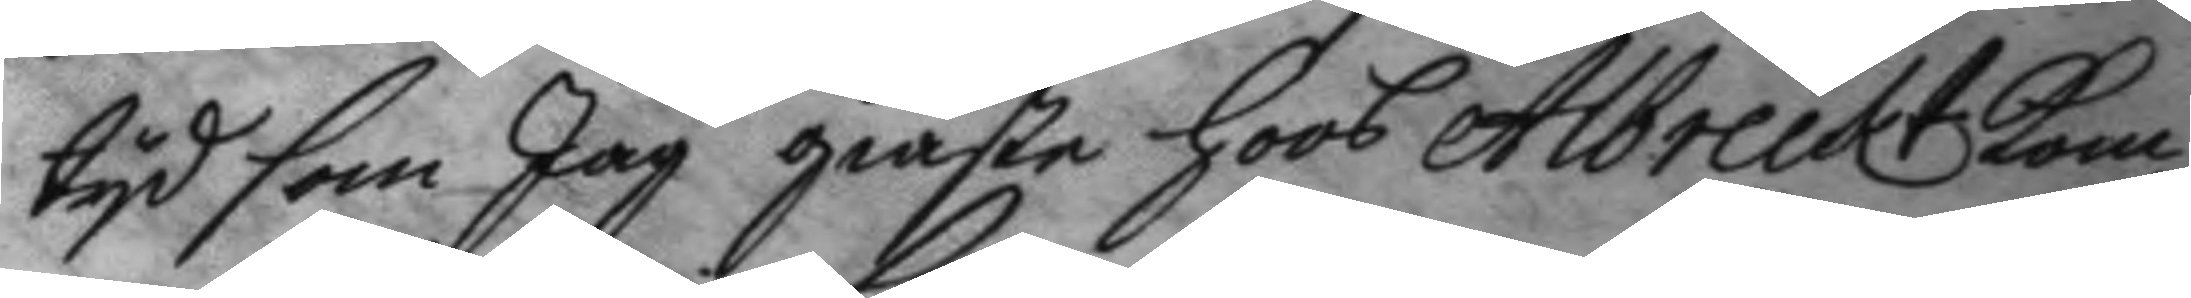tyd som Jag giäste hoos Albreckt kom¬
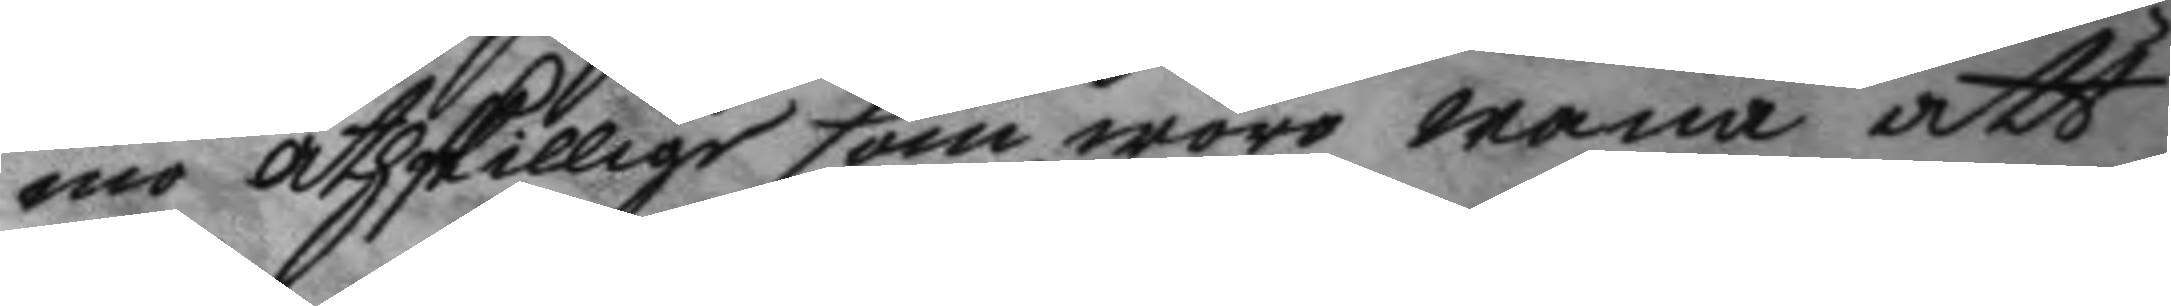mo åthskillige som woro wana att
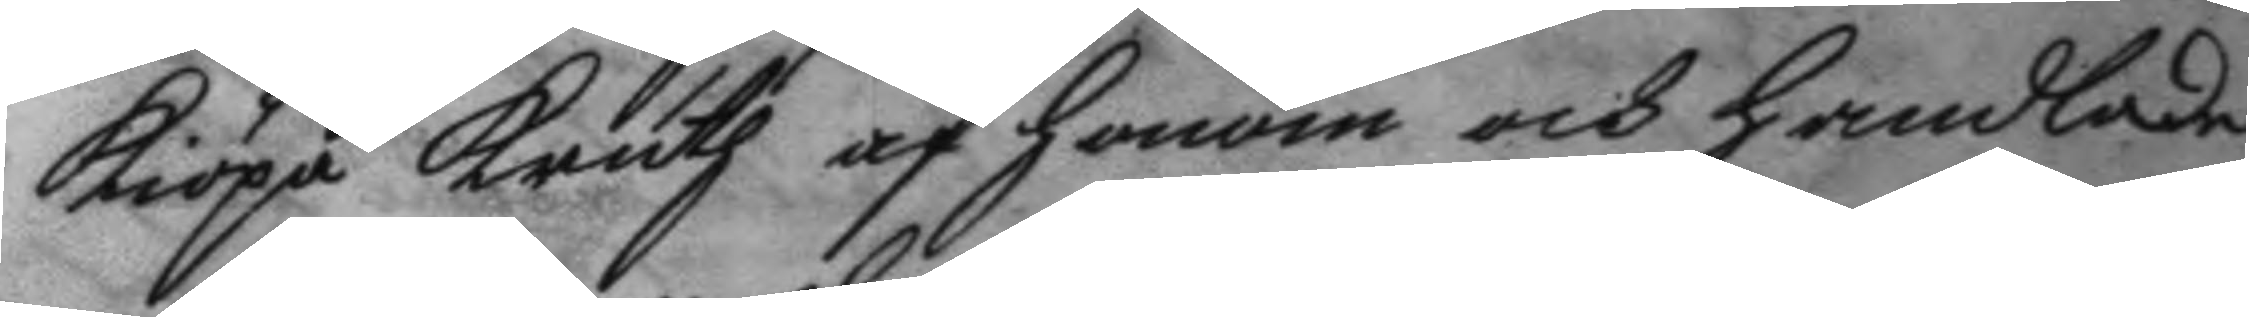kiöpa kruuth af honom och handlade
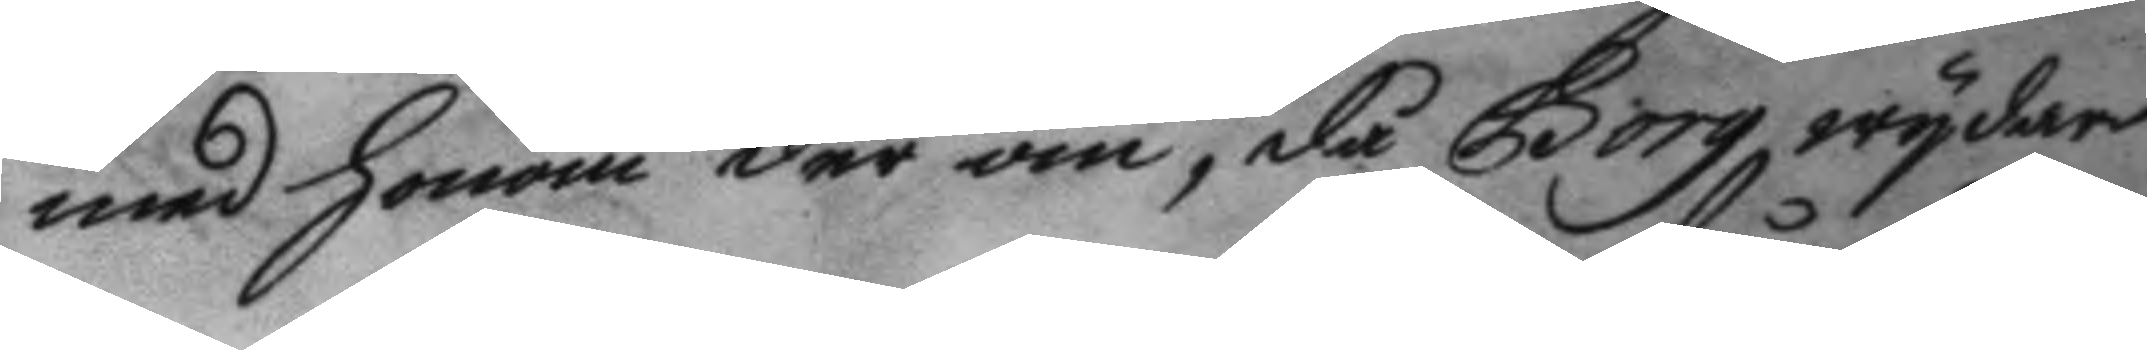med honom der om, då Borg wydare
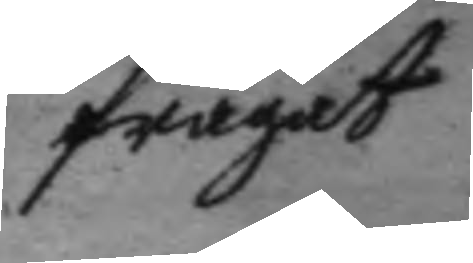frågat
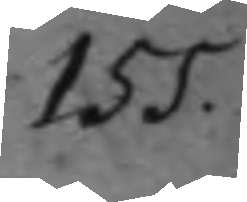155.
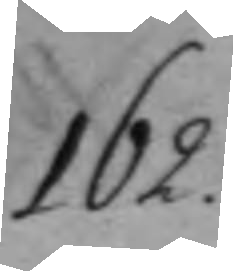162.
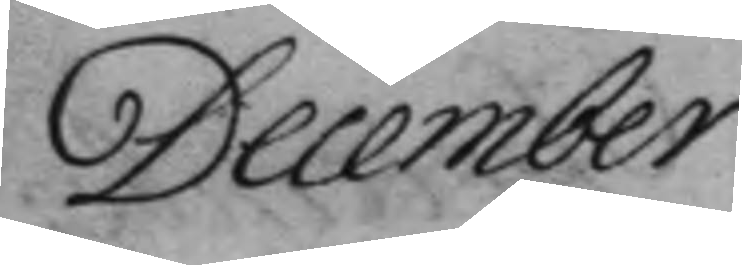December
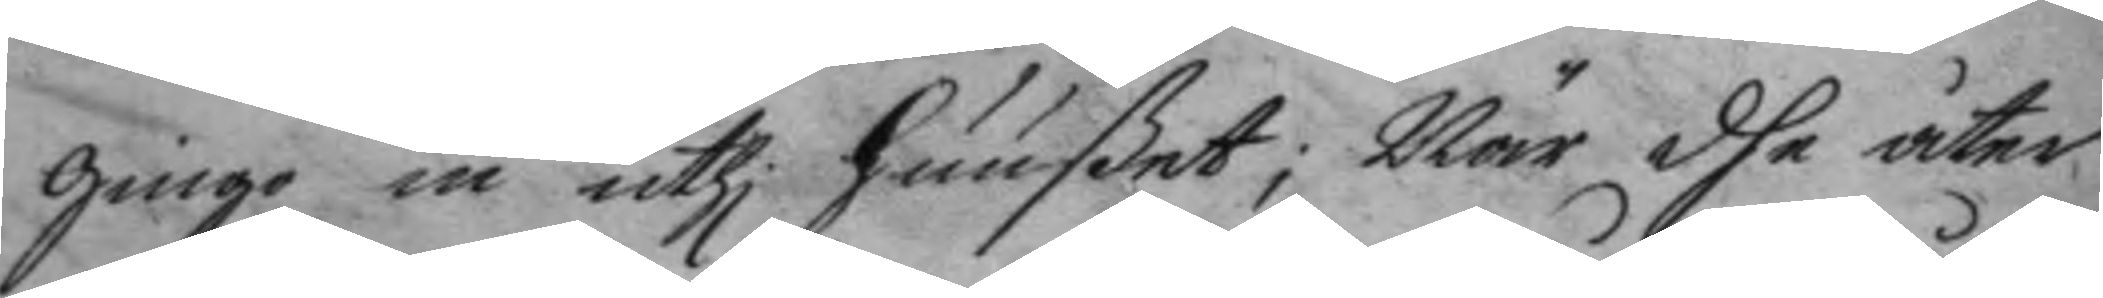gingo in uthi huußet; När dhe åter
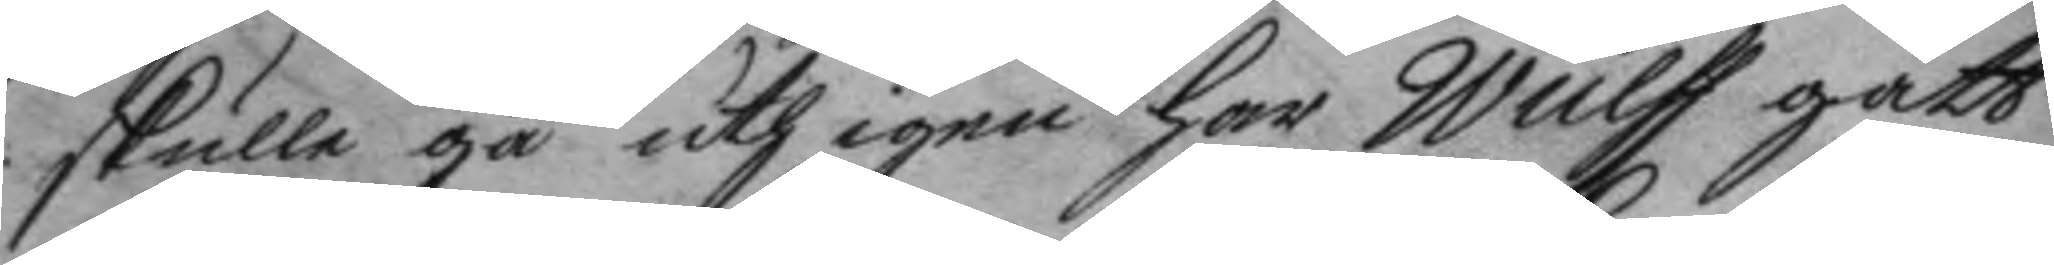skulle gå uth igen har Wulff gått
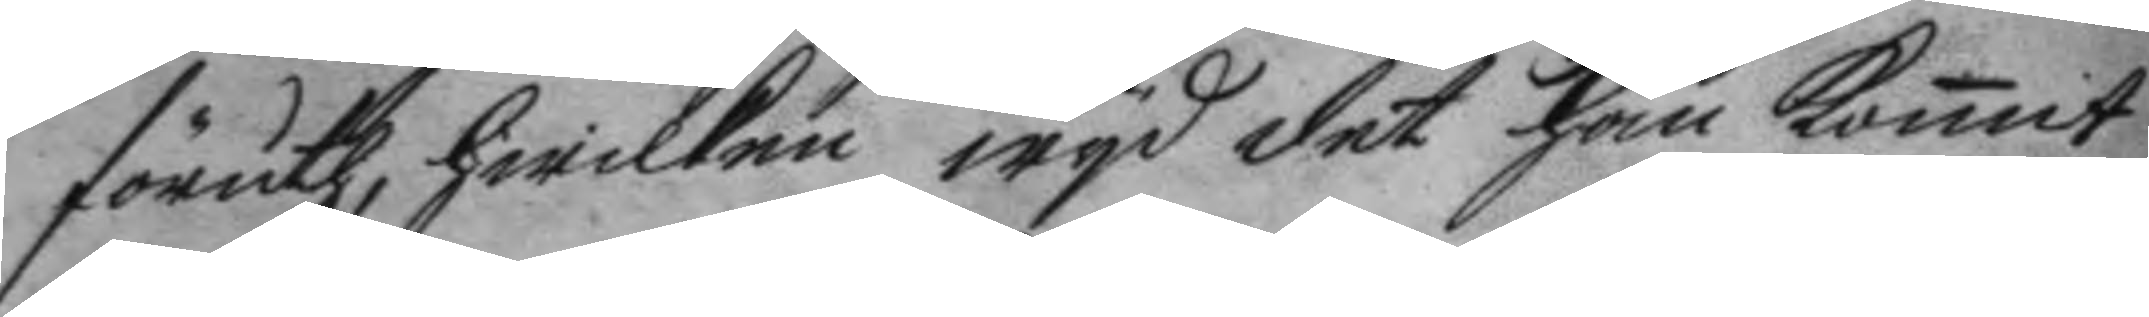föruth, hwilken wyd det han komit
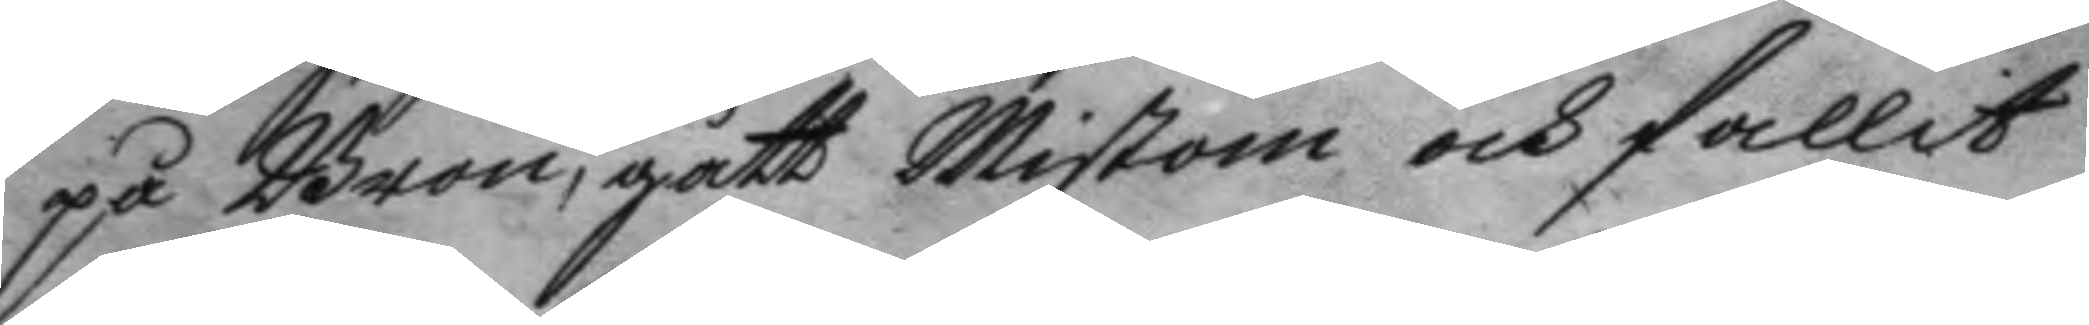på Bron, gått Mistrom och fallit
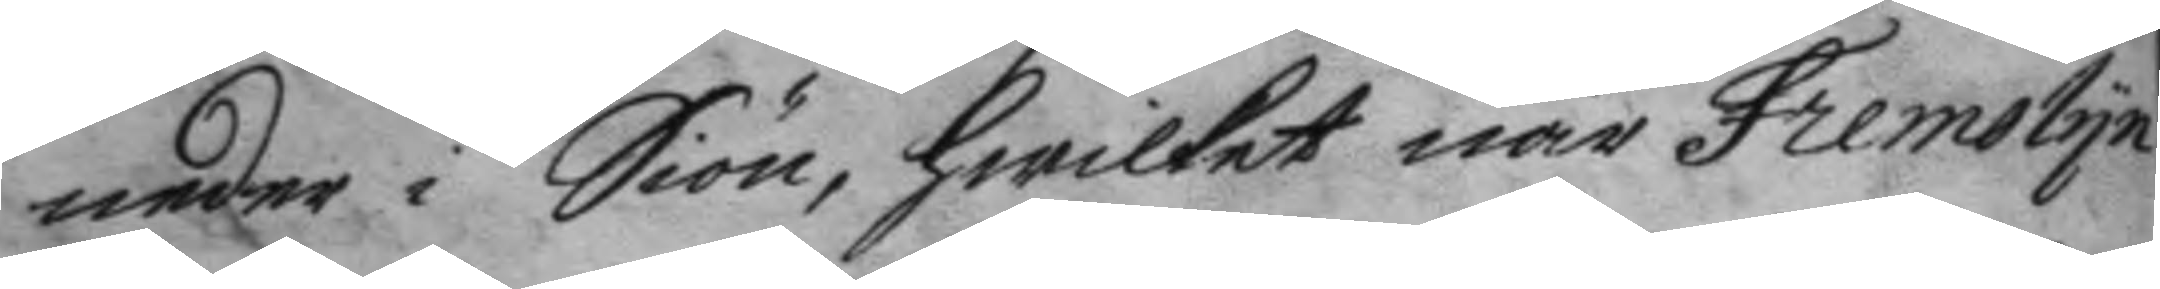neder i Siön, hwilket när Fremolyn
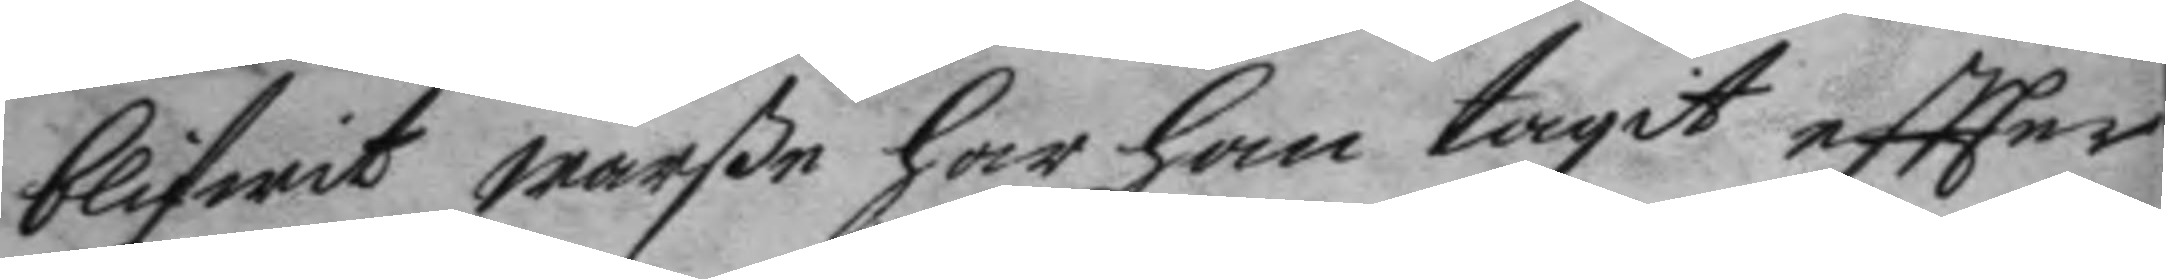blifwit warße har han tagit eftter
